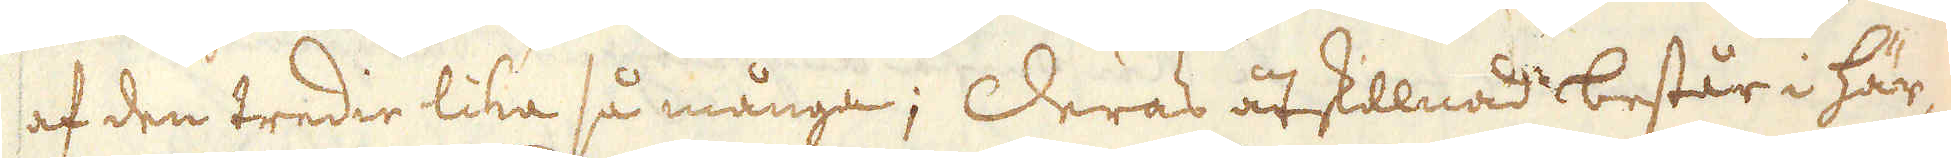af den tredie lika så många; Deras åtstillnad består i här-
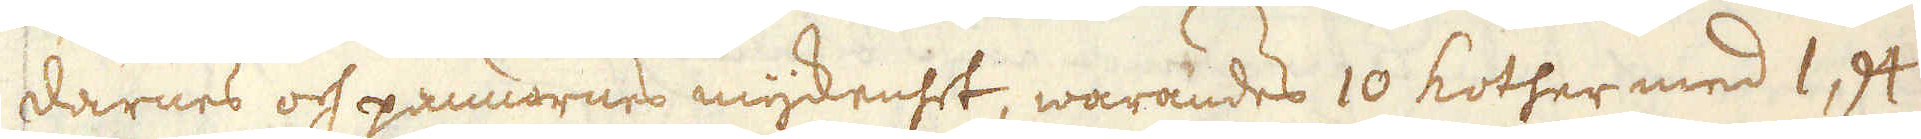darnes och pannornes myckenhet, warandes 10 Kother med 1, 94
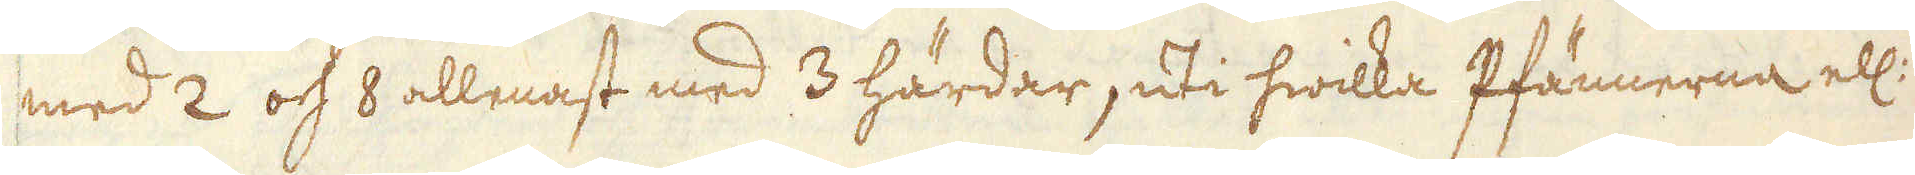med 2 och 8 allenast med 3 härdar, uti hwilka Pfännerna ell:
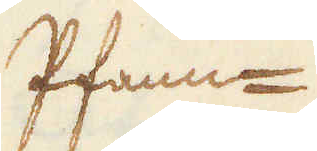Pfann-
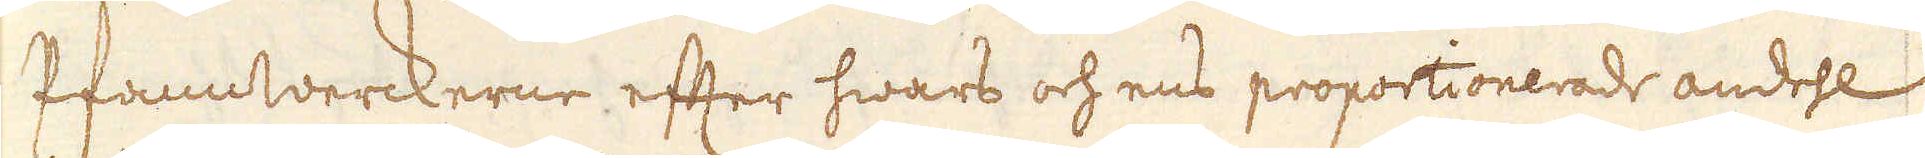Pfannwerckerne efter hwars och ens proportionerade andehl
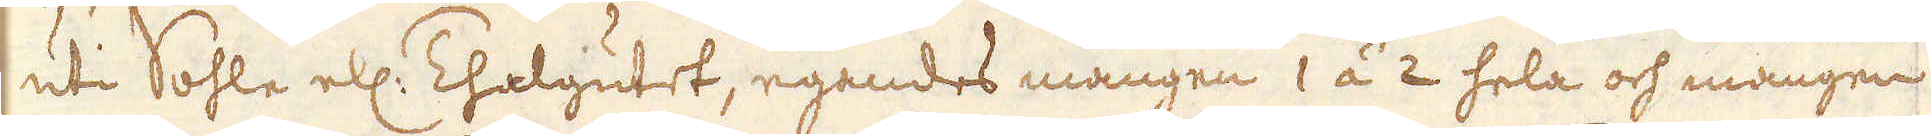uti Sohle ell: Thalgutet, egendes mången 1 á 2 hela och mången
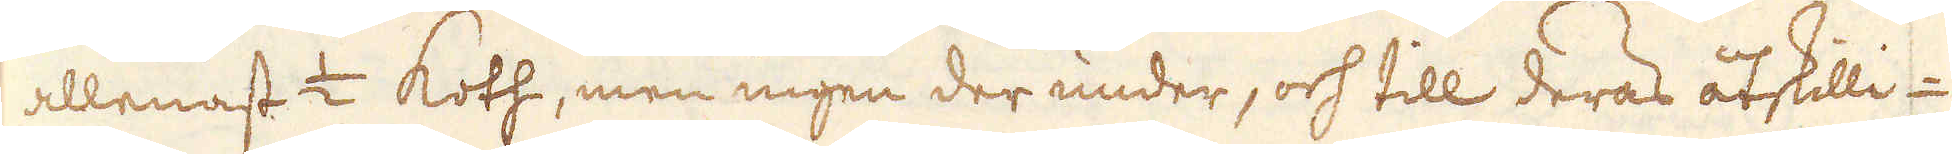allenast 1/2 Koth, men ingen der under, och till deras åtskilli-
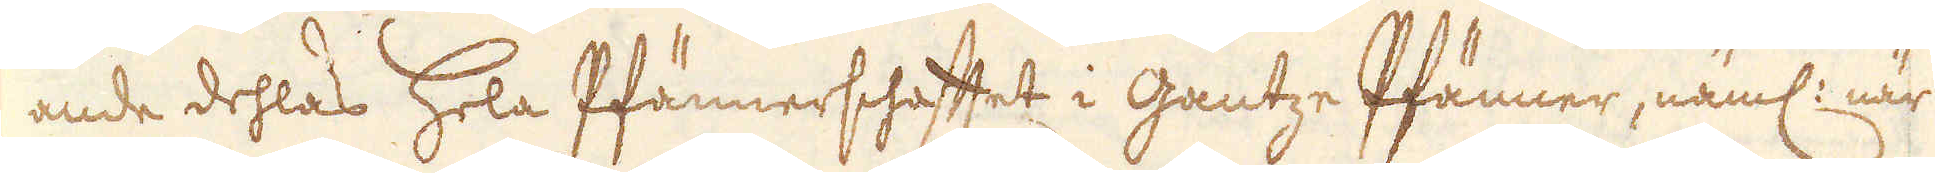ande dehlas hela Pfännerschafftet i Gantze Pfänner, näml: när
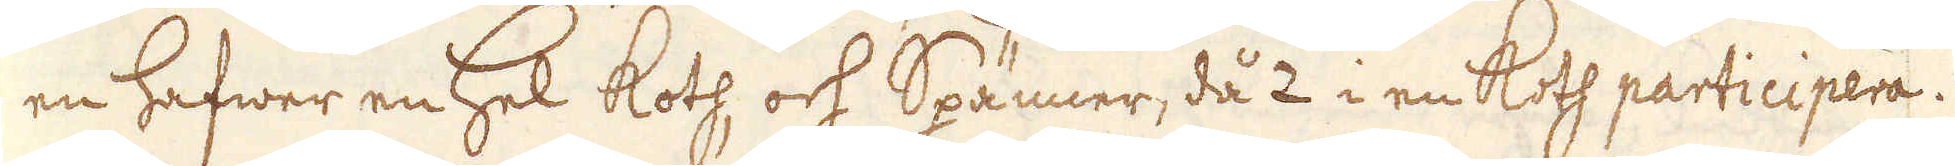en hafwer en hel Koth, och Spänner, då 2 i en Koth participera.
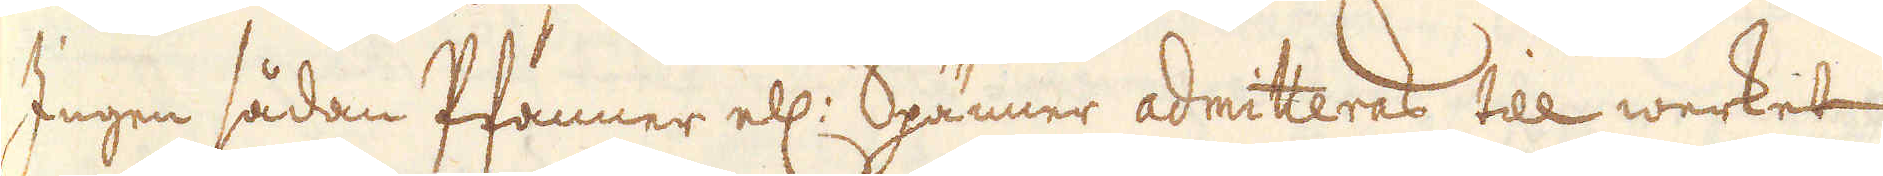Ingen sådan Pfänner ell: Spänner admitteras till werket
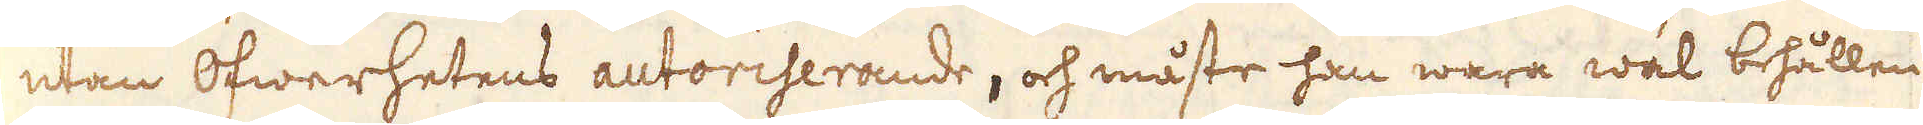utan Öfwerhetens autoriserande, och måste han wara wäl behållen
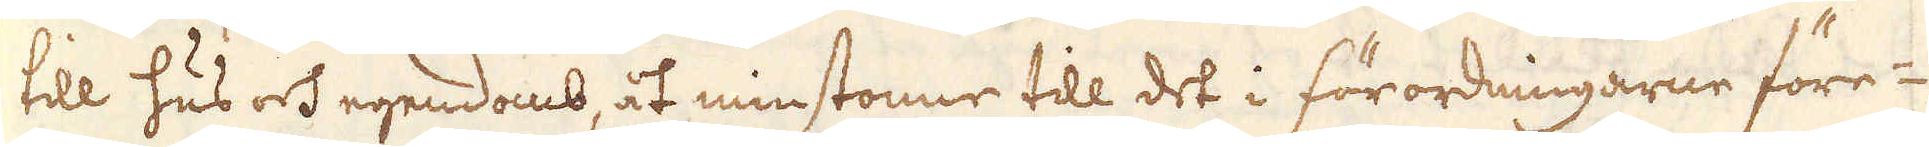till hus och egendomb, åt minstonne till det i förordningarne före-
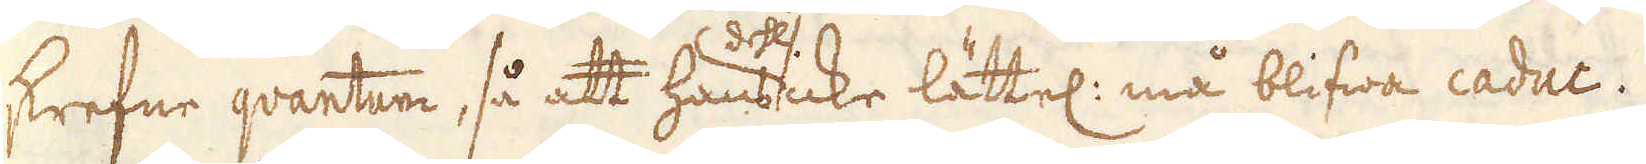skrefne qvantun, så att hans dehl icke lättel: må blifwa caduc.
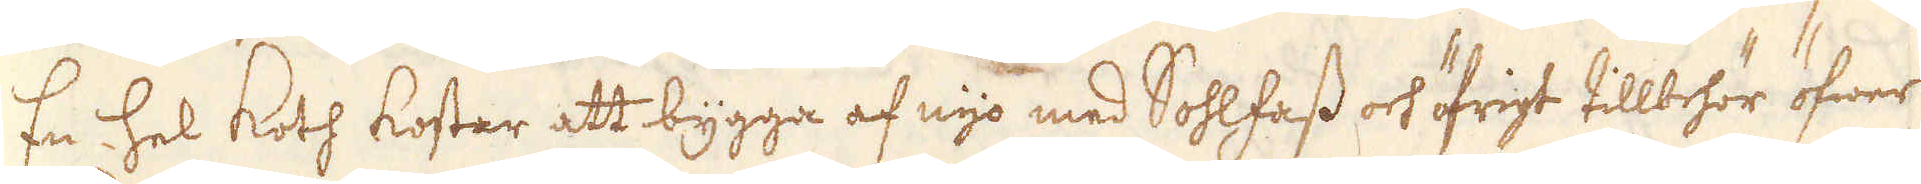En hel Koth kostar att bygga af nijo med Sohlfass och öfrigt tillbehör öfwer
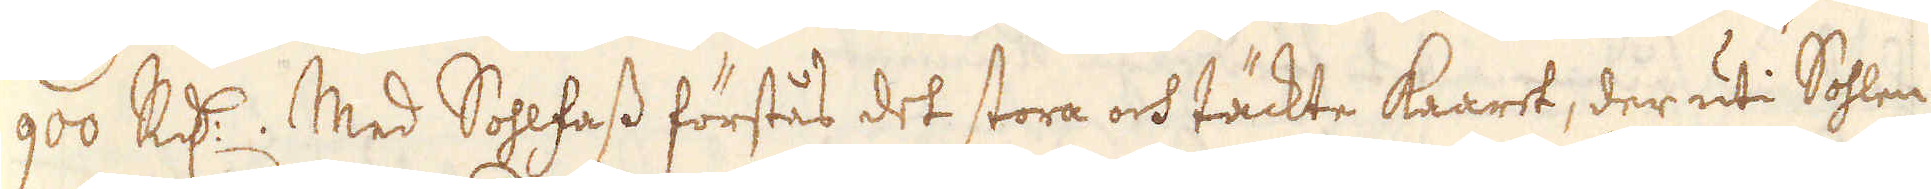900 R:dr. Med Sohlfass förstås det stora och täckte Kaaret, der uti Sohlen
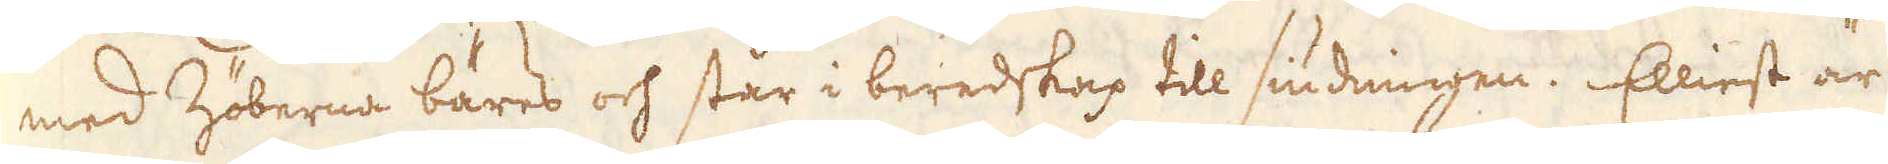med Zöberna bäres och står i beredskap till siudningen. Elliest är
